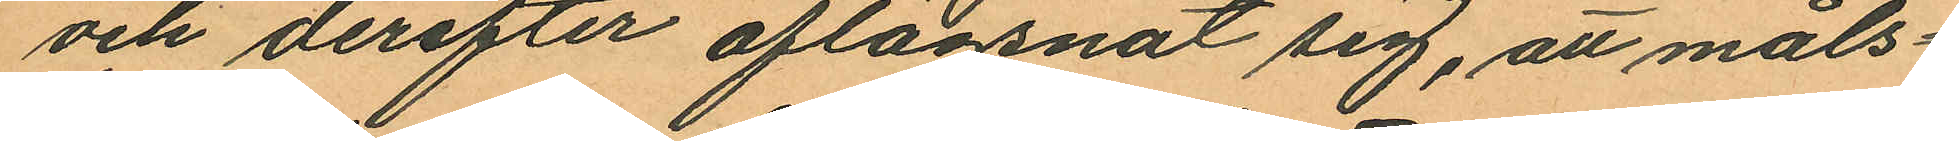och derefter aflägsnat sig, att måls¬
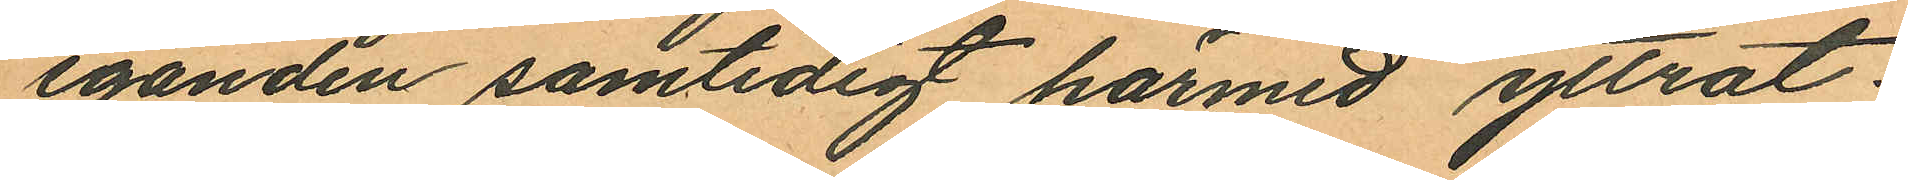eganden samtidigt härmed yttrat:
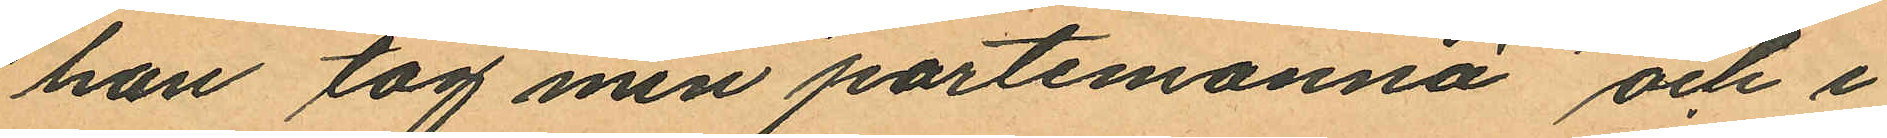"han tog min portemonnä" och i
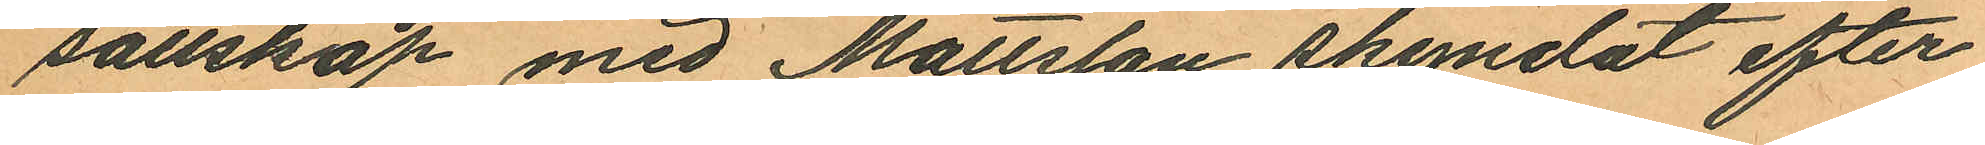sällskap med Mattsson skyndat efter
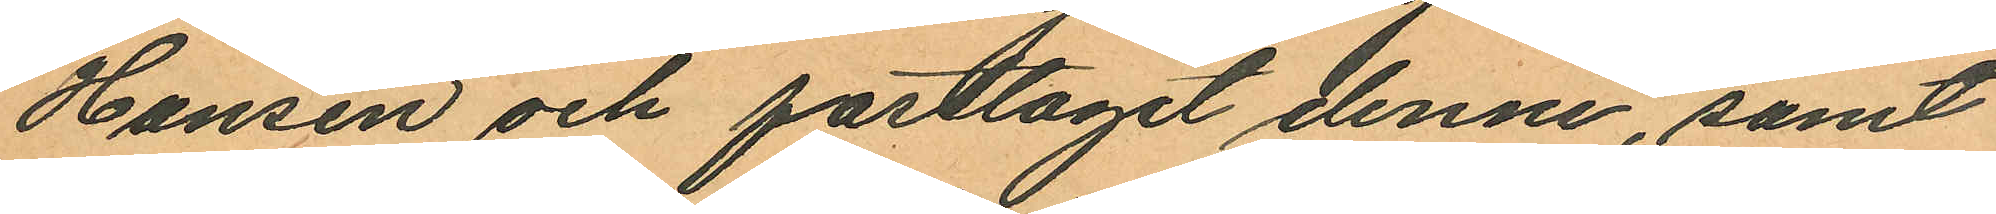Hansen och fasttagit denne, samt
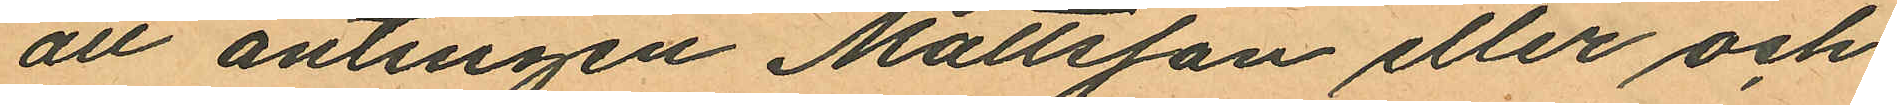att antingen Mattsson eller och
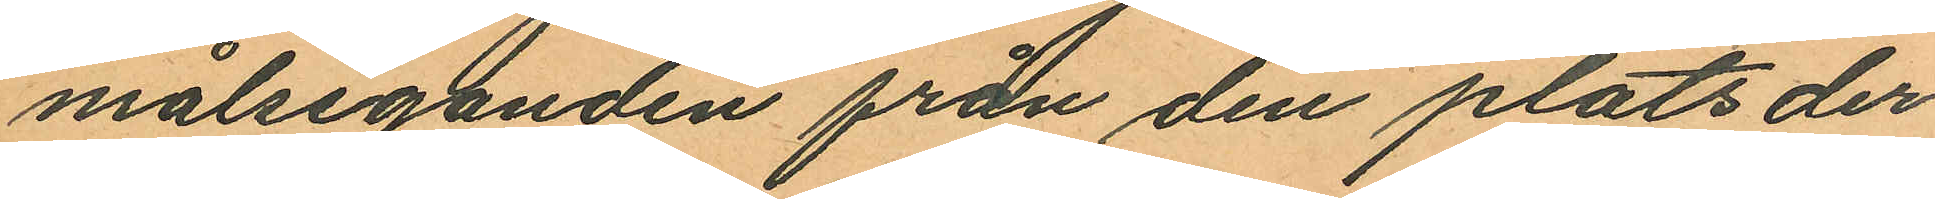målseganden från den plats der
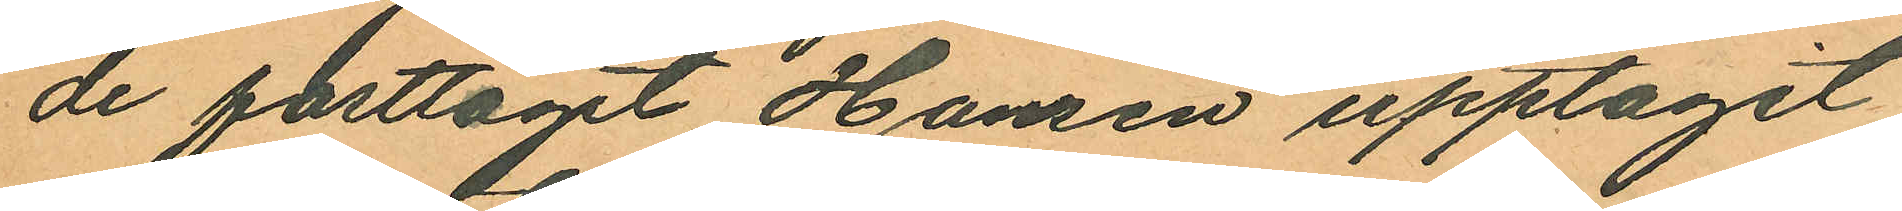de fasttagit Hansen upptagit
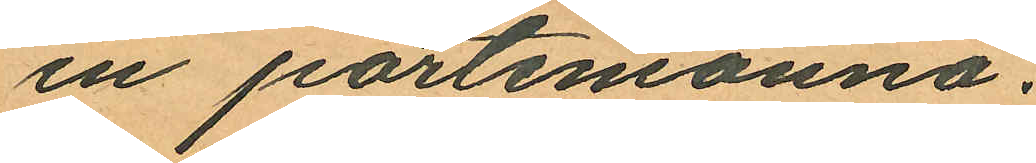en portemonnä.
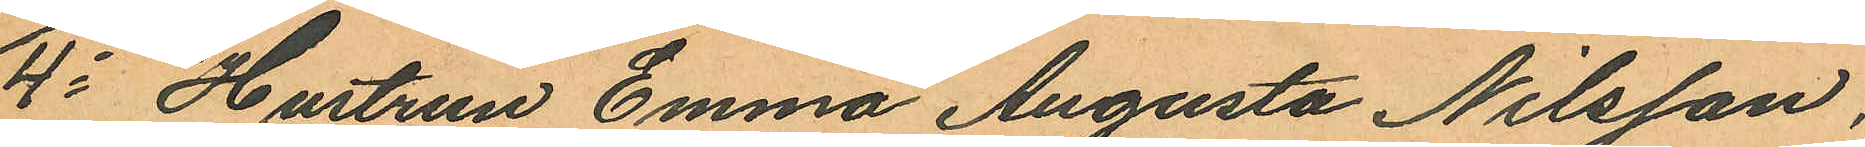4o Hustrun Emma Augusta Nilsson,
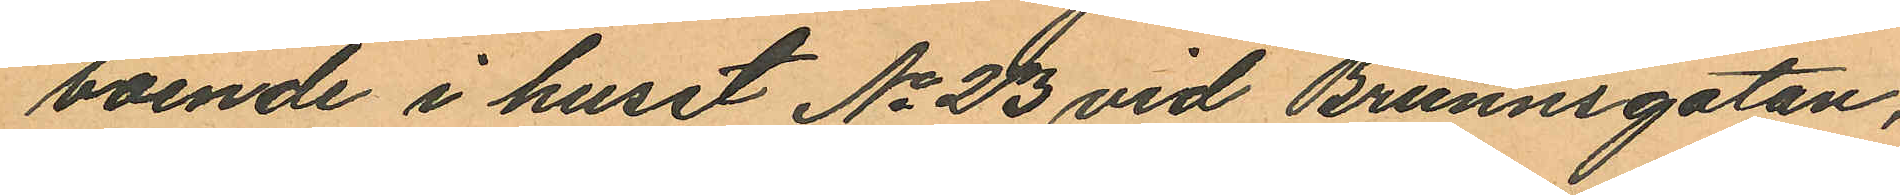boende i huset No 23 vid Brunnsgatan,
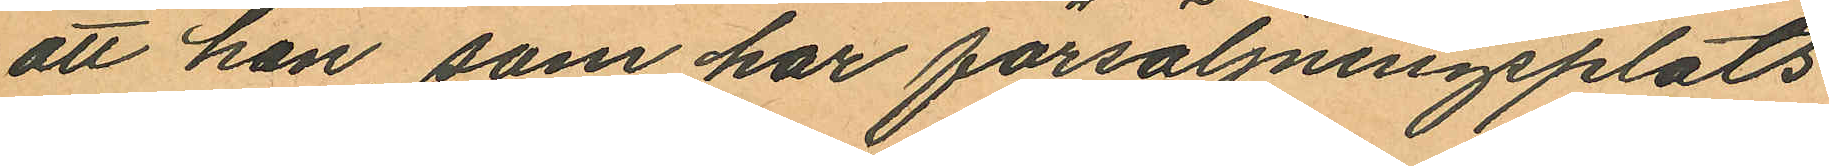att hon som har försäljningsplats
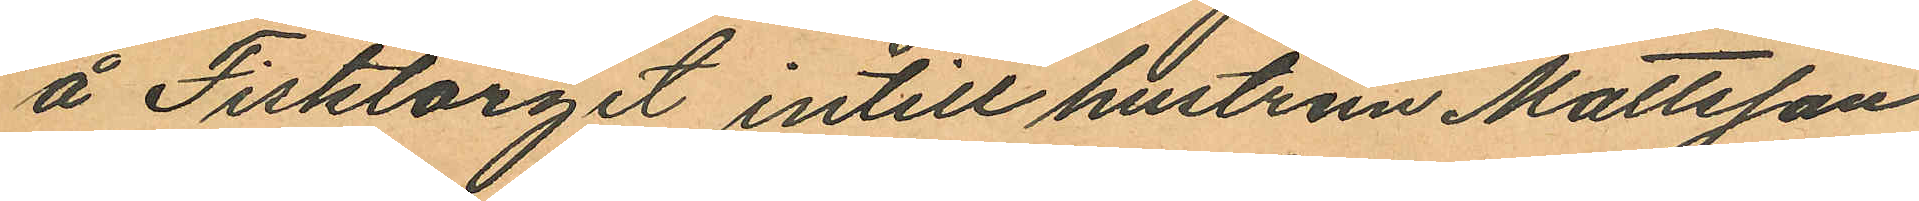å Fisktorget intill hustrun Mattsson
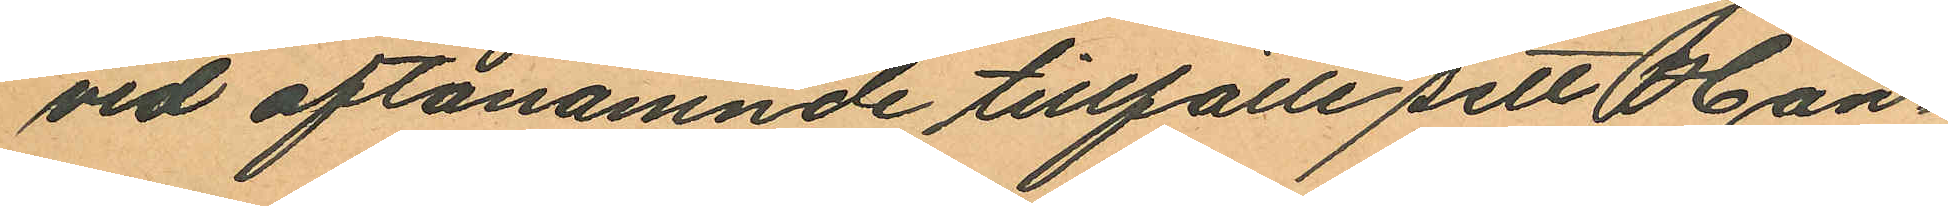vid oftanämnde tillfälle sett Han¬
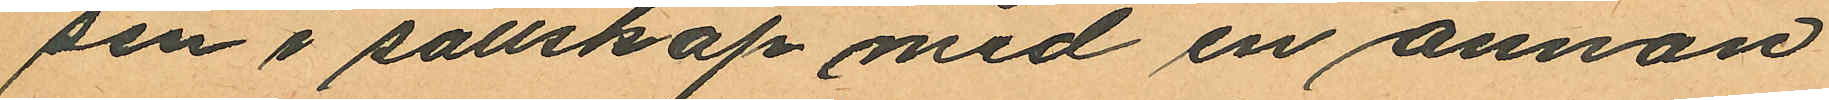sen i sällskap med en annan
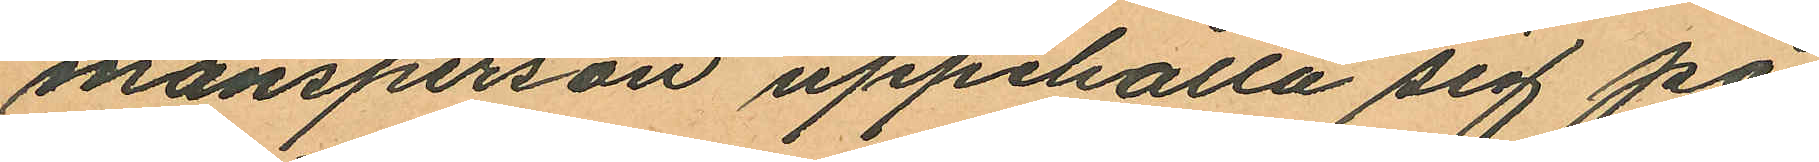mansperson uppehålla sig på
